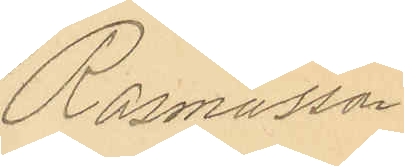Rasmusson.
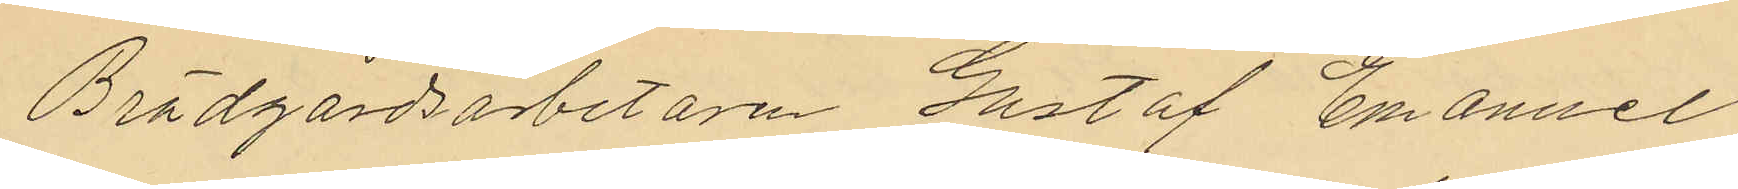Brädgårdsarbetaren Gustaf Emanuel
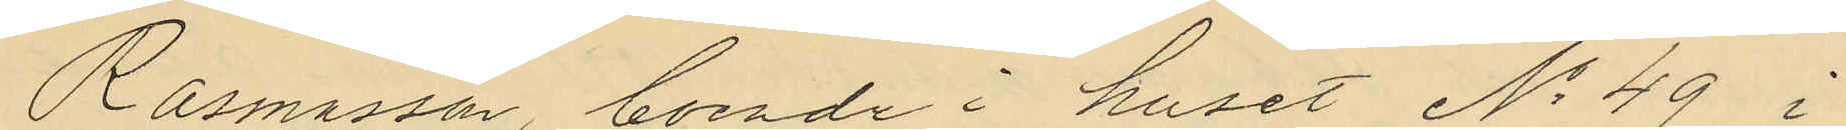Rasmusson, boende i huset No 49 i
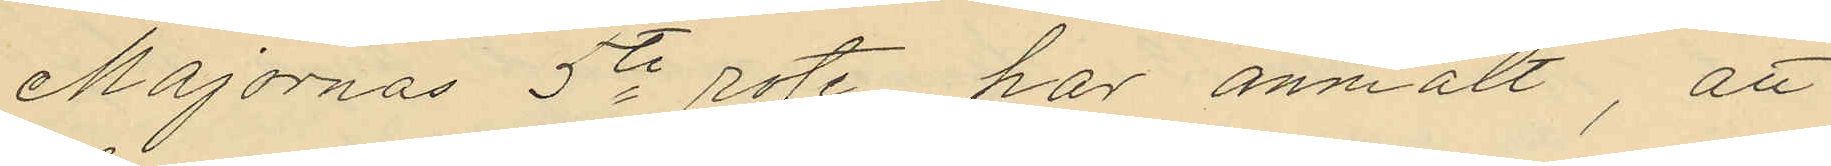Majornas 5te rote har anmält, att
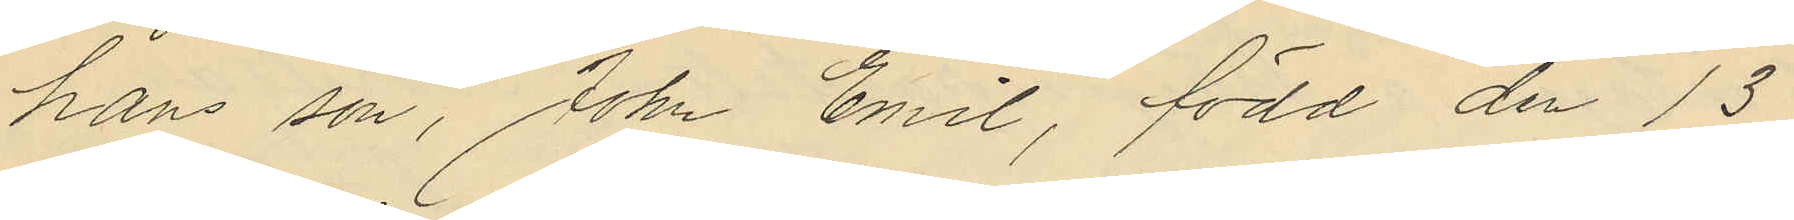hans son, John Emil, född den 13
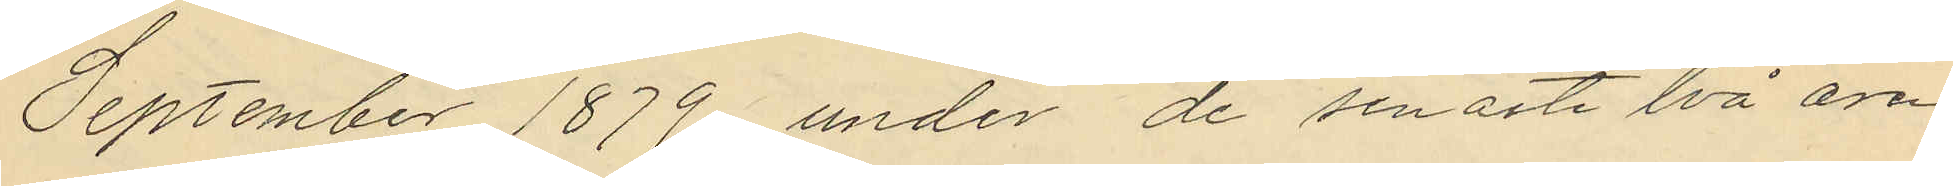September 1879, under de senaste två åren
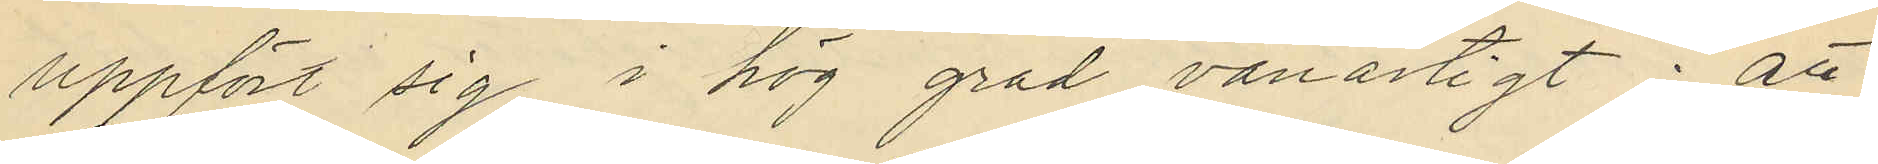uppfört sig i hög grad vanartigt; att
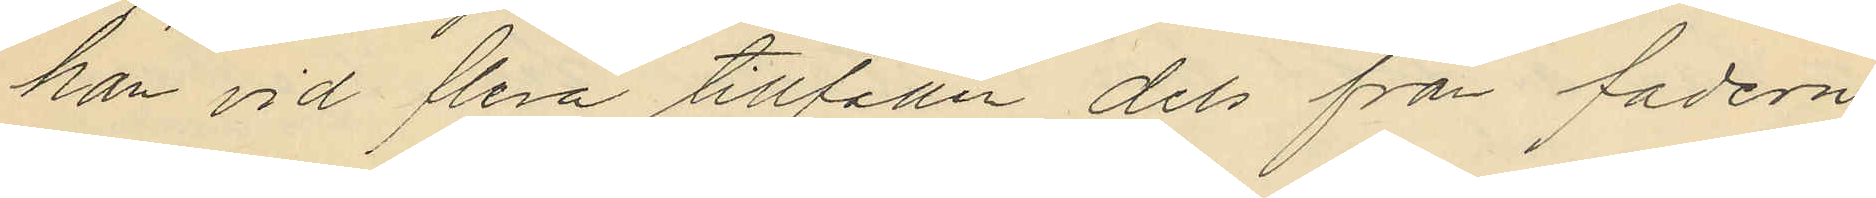han vid flera tillfällen dels från fadern
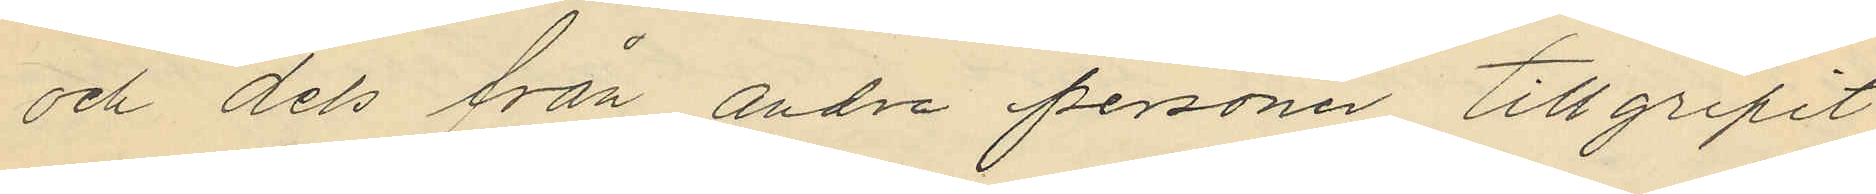och dels från andre personer tillgripit
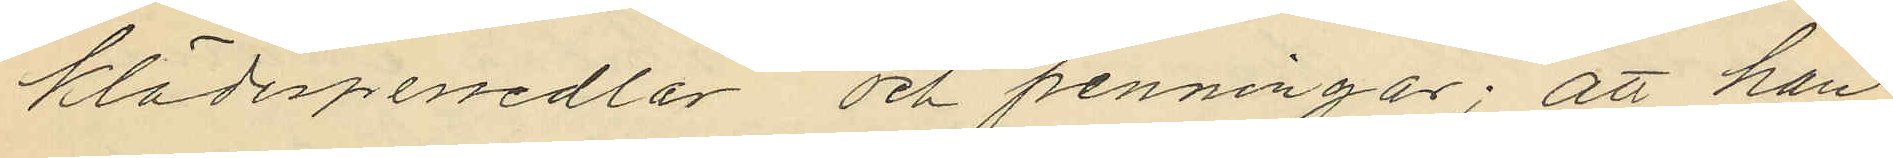klädespersedlar och penningar; att han
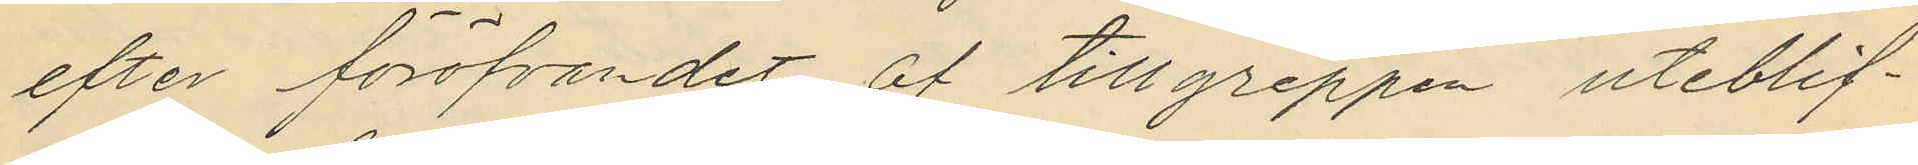efter föröfvandet af tillgreppen uteblif¬
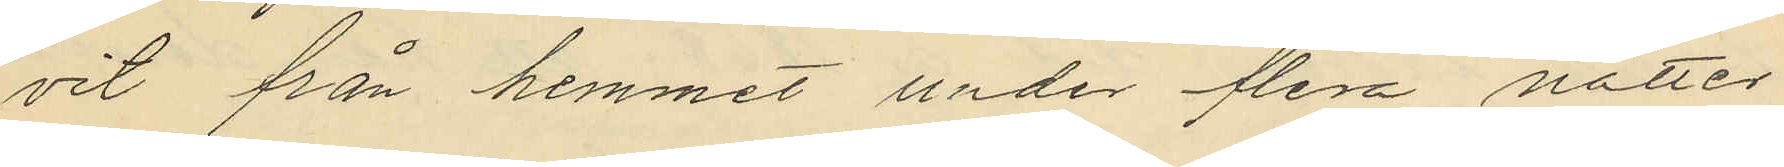vit från hemmet under flera nätter
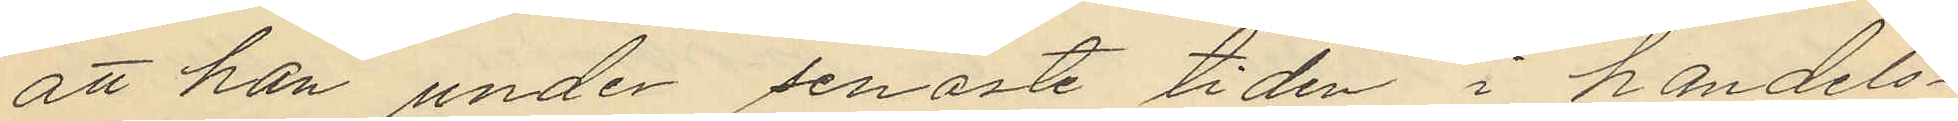att han under senaste tiden i handels¬
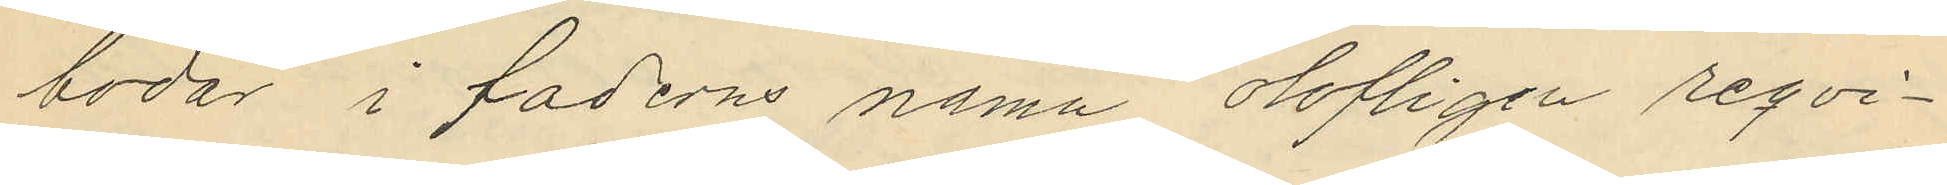bodar i faderns namn olofligen reqvi¬
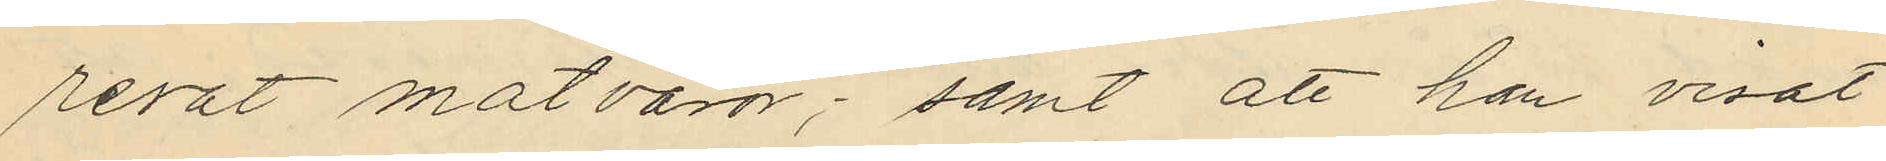rerat matvaror; samt att han visat
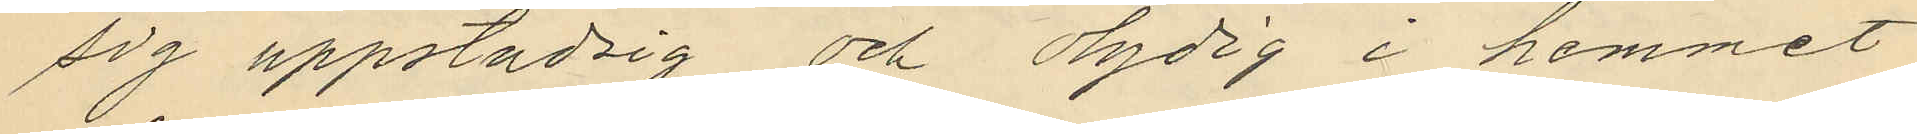sig uppstudsig och olydig i hemmet
